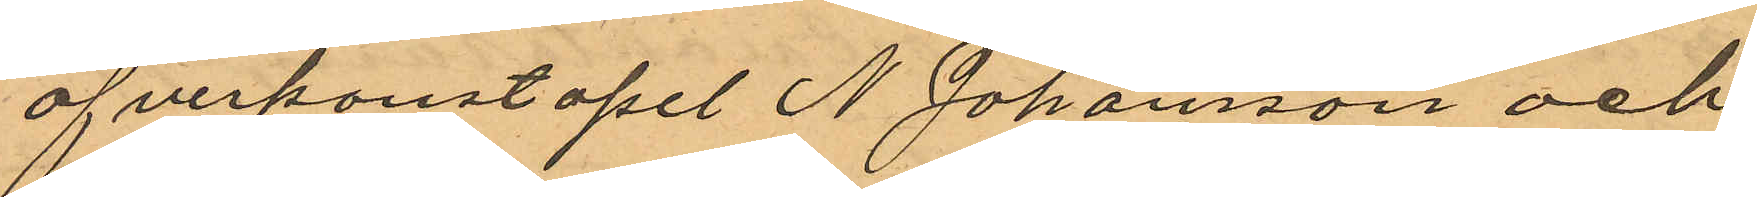öfverkonstapel N. Johansson och
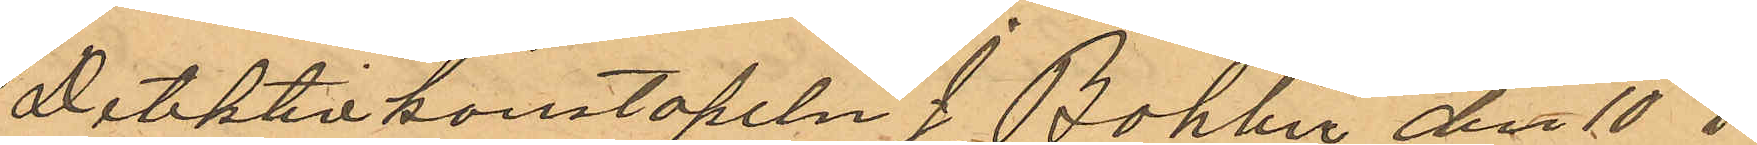Detektivkonstapeln I Bohlin den 10 i
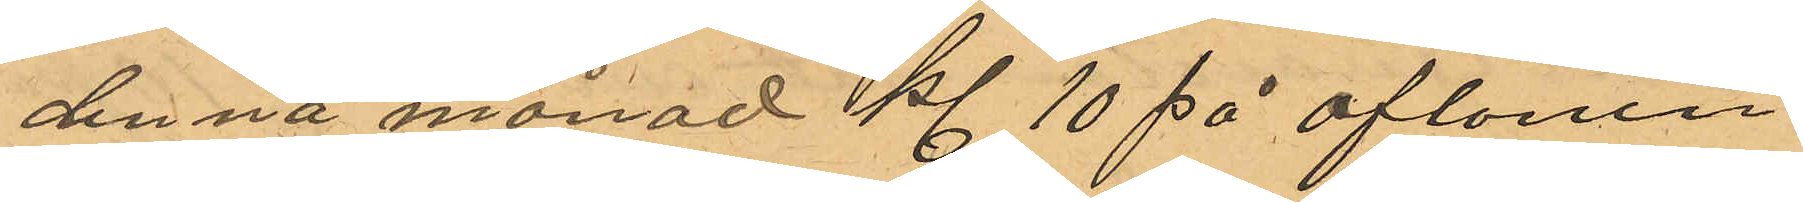denna månad kl. 10 på aftonen
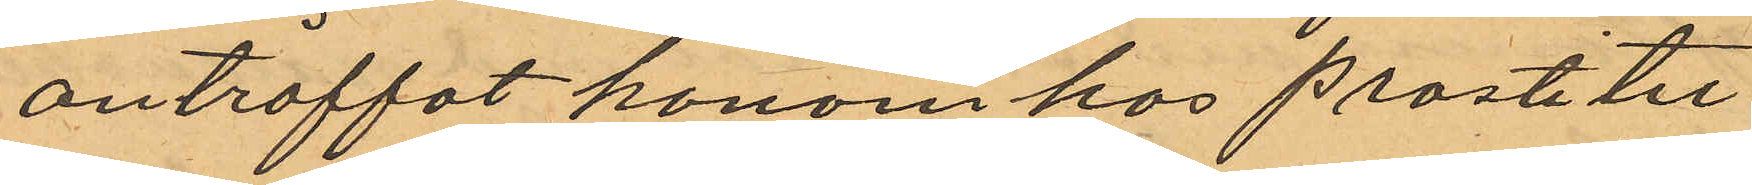anträffat honom hos prostitiu¬
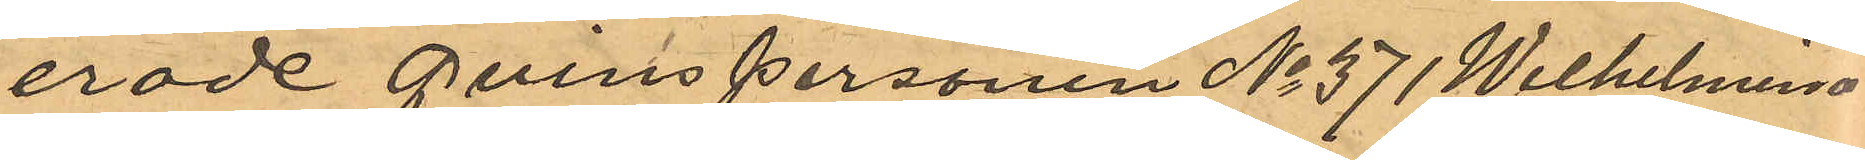erade Qvinspersonen No 371 Wilhelmina
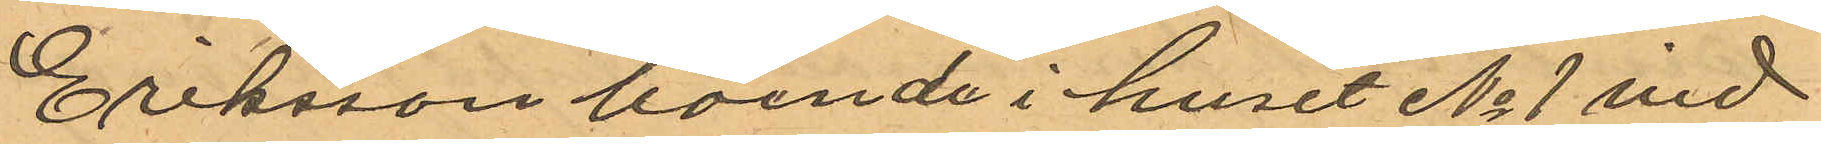Eriksson boende i huset No 1 vid
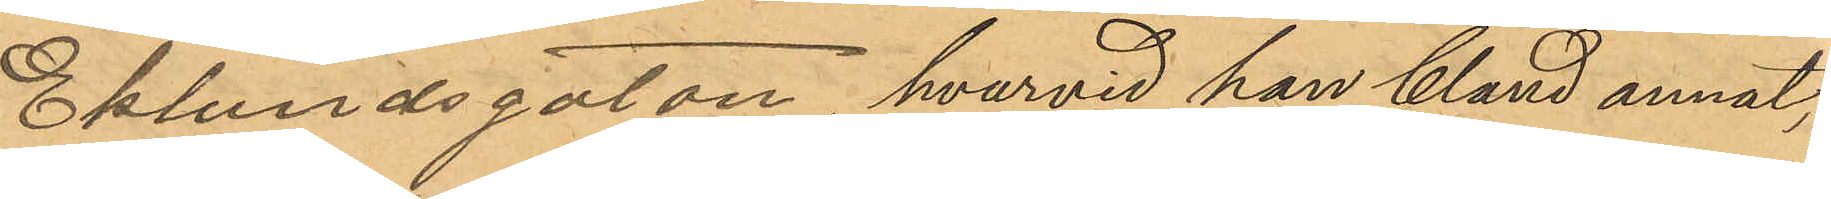Eklundsgatan, hvarvid han bland annat,
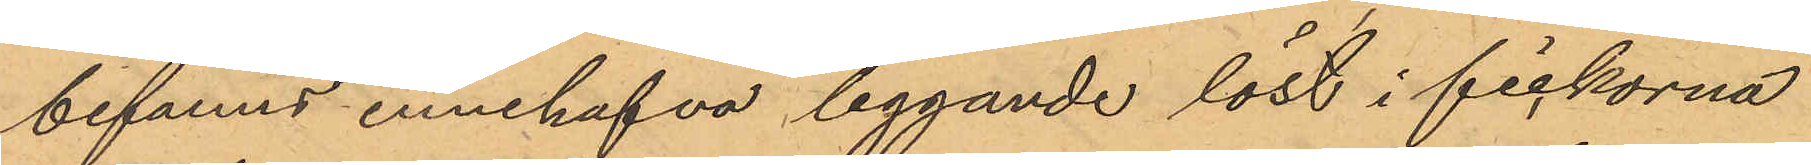befanns innehafva liggande löst i fickorna
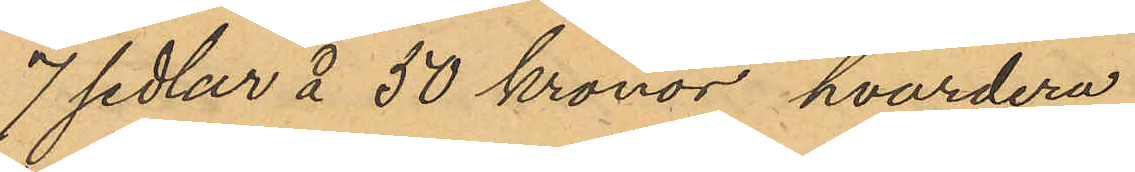7 sedlar å 50 kronor, hvardera
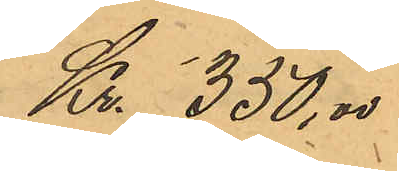Kr. 350,00
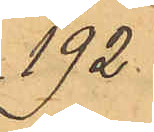192.
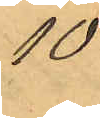10
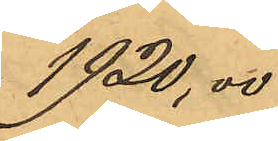1920,00
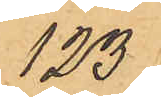123
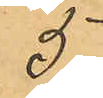5
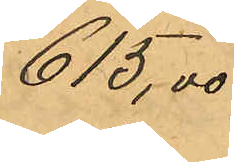615,00
